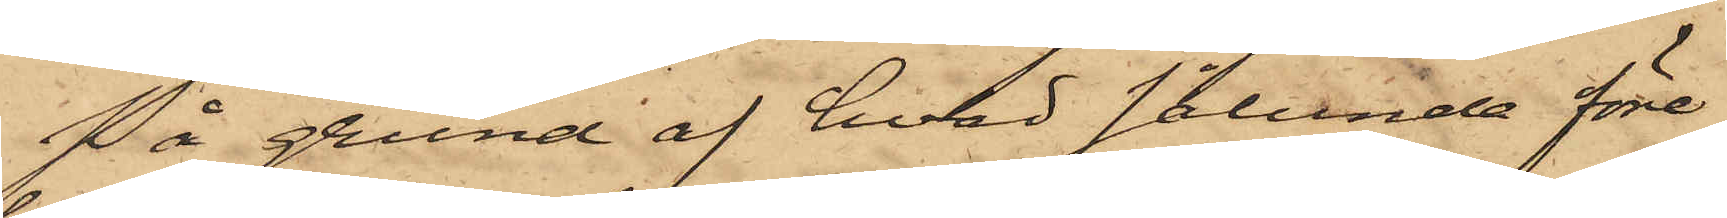På grund af hvad sålunda före¬
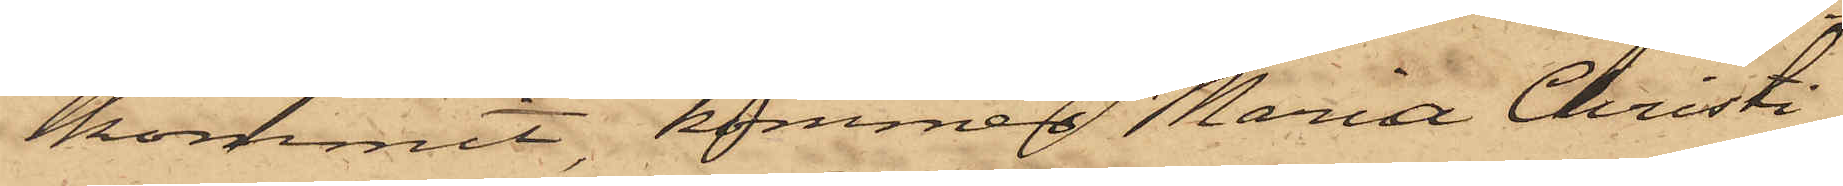kommit, kommer Maria Christi¬
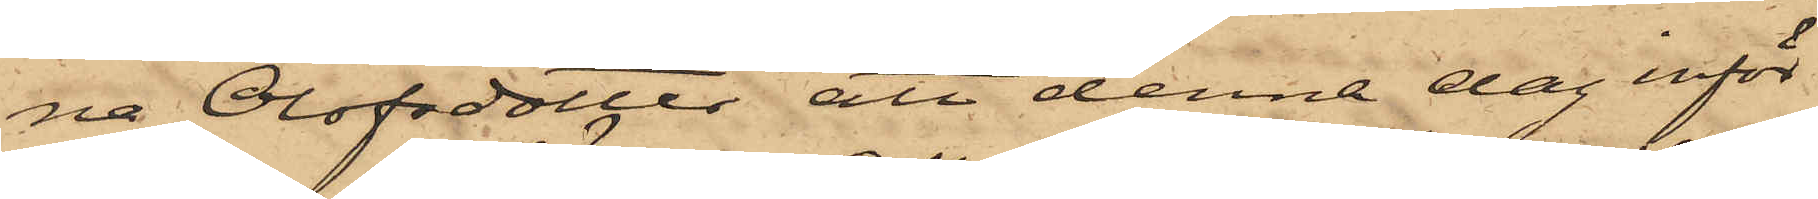na Olofsdotter att denna dag inför
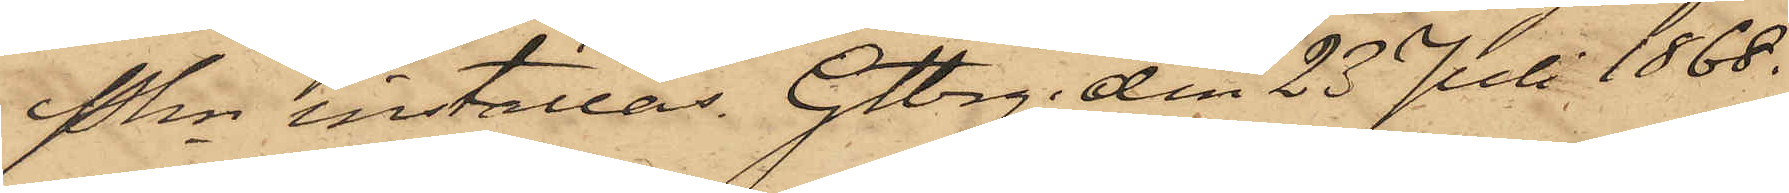Pkn inställas. Gtbg den 23 Juli 1888.
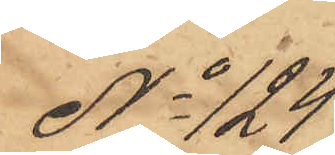No 124
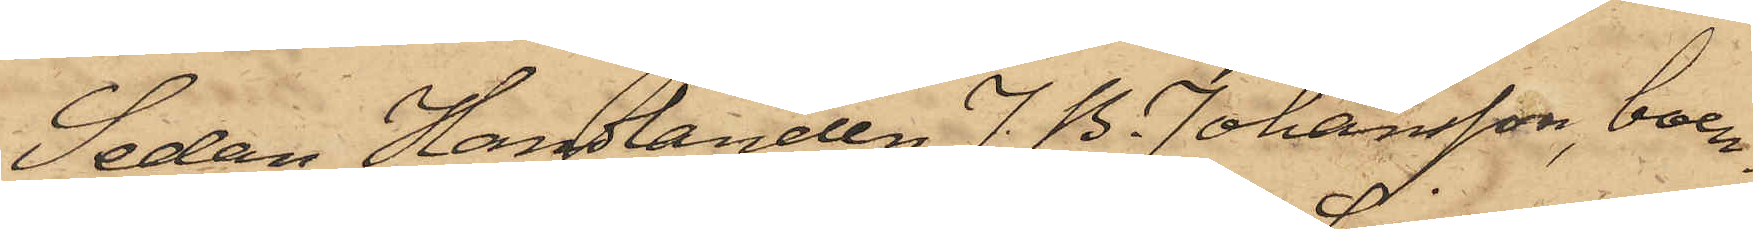Sedan Handlanden J. B. Johansson, boen¬
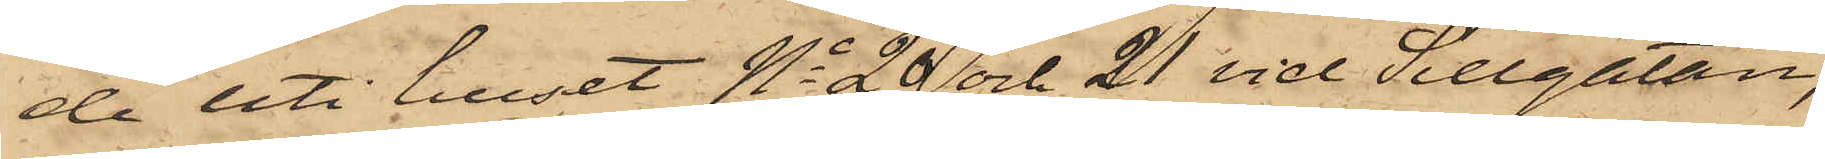de uti huset No 20 och 21 vid Sillgatan,
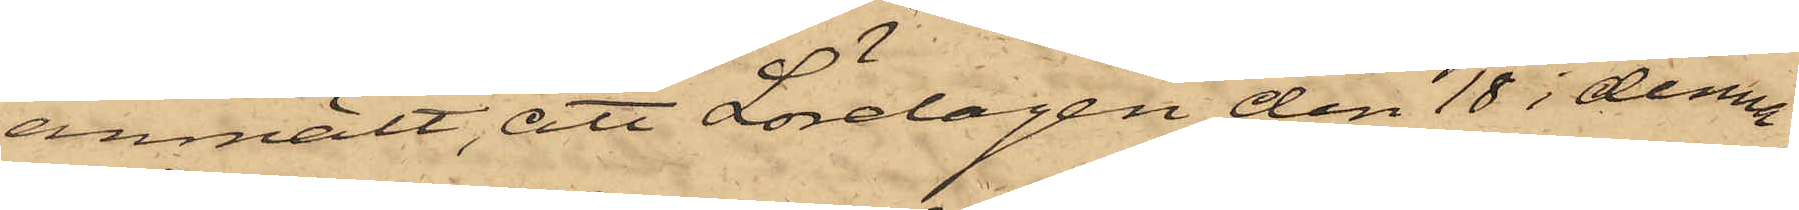anmält, att Lördagen den 18 i denna
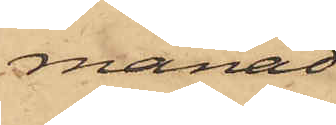månad
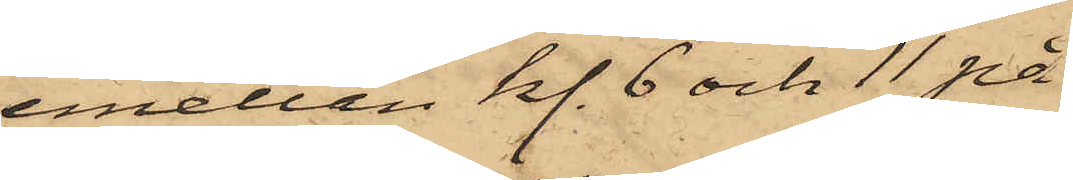emellan kl. 6 och 11 på
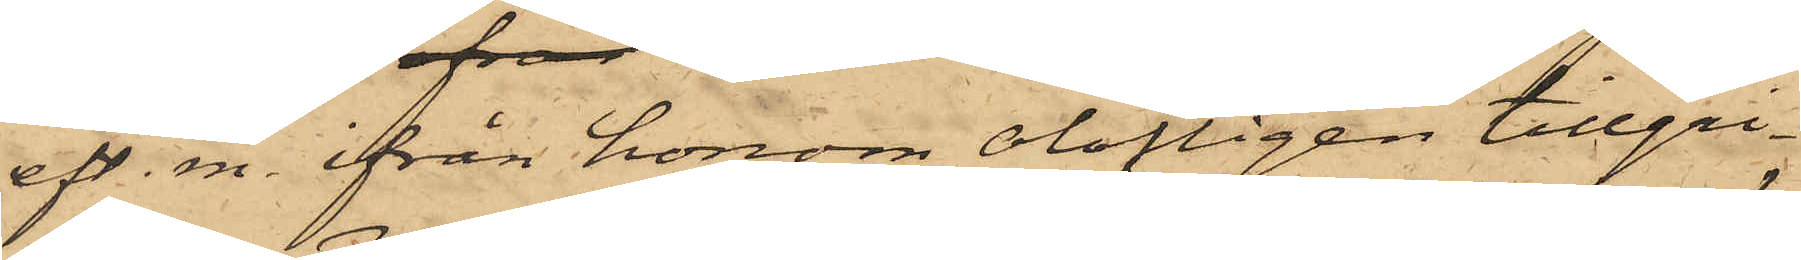eft. m. ifrån honom olofligen tillgri¬
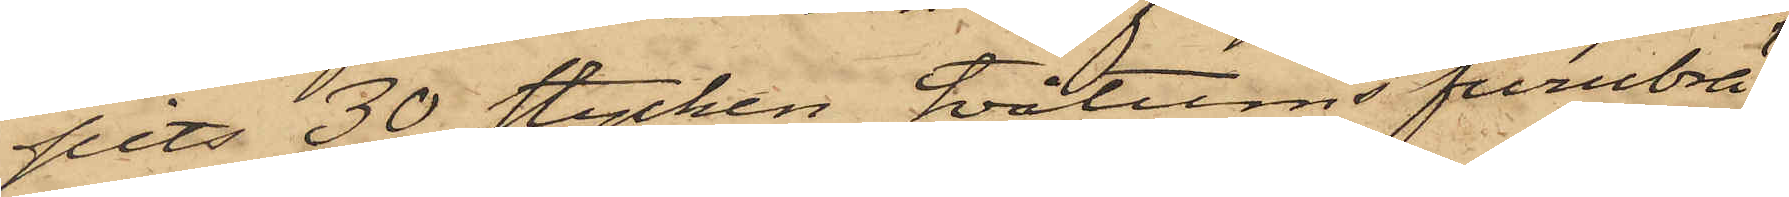pits 30 stycken, tvåtums furubrä¬
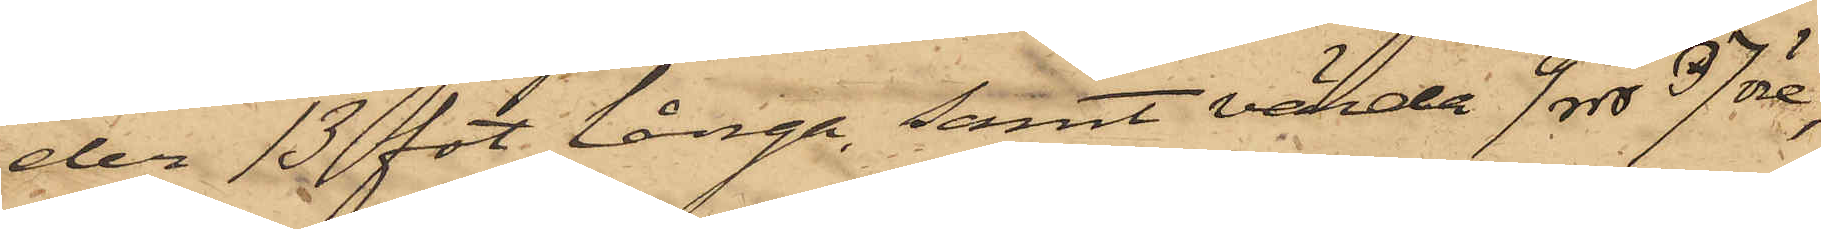der 13 fot långa, samt värda 9 rdr 37 öre,
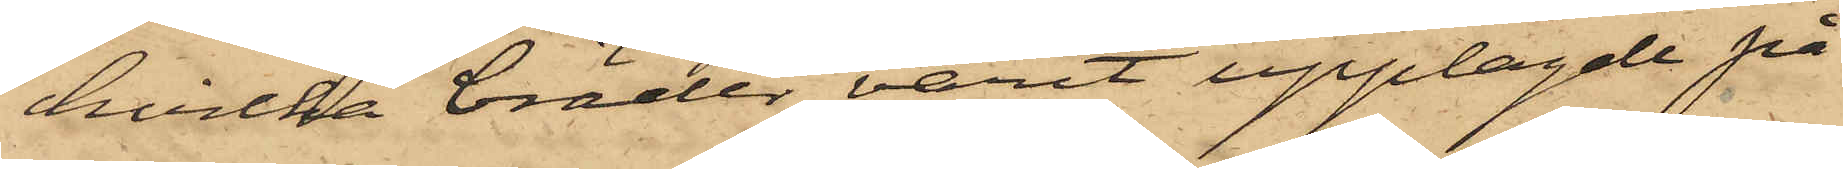hvilka bräder varit upplagde på
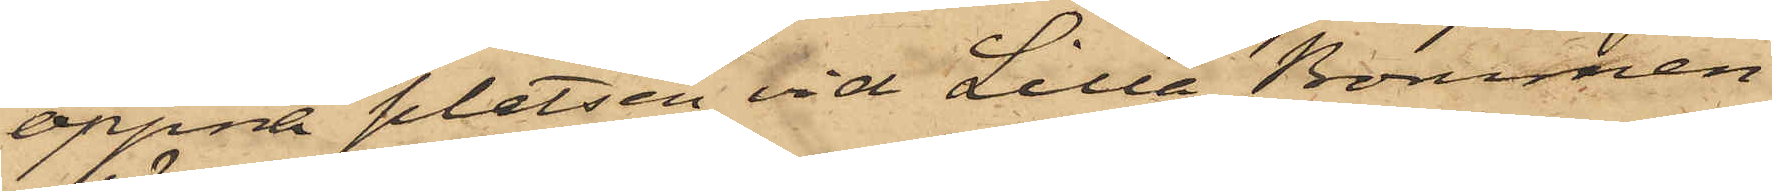öppna platsen vid Lilla Bommen,
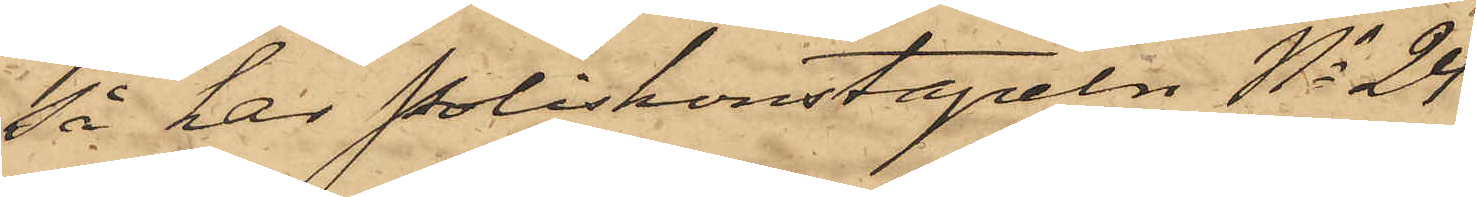så har Poliskonstapeln No 24
